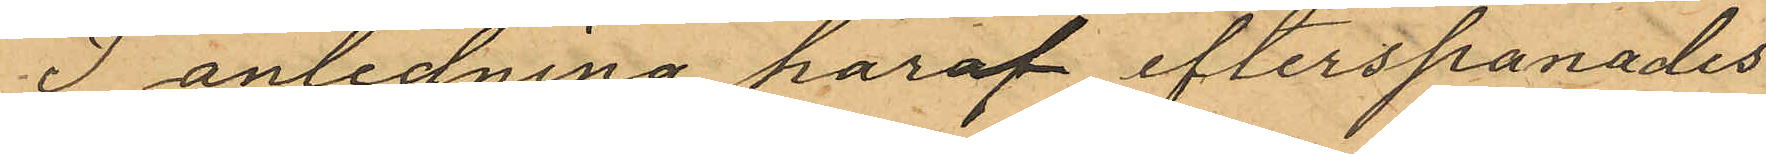I anledning häraf efterspanades
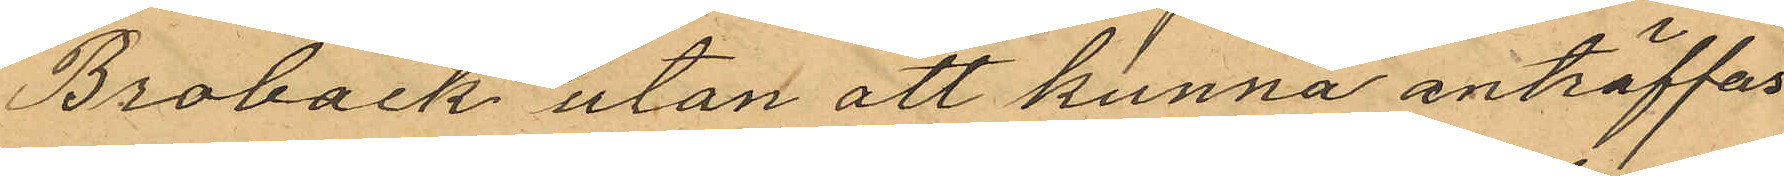Broback utan att kunna anträffas
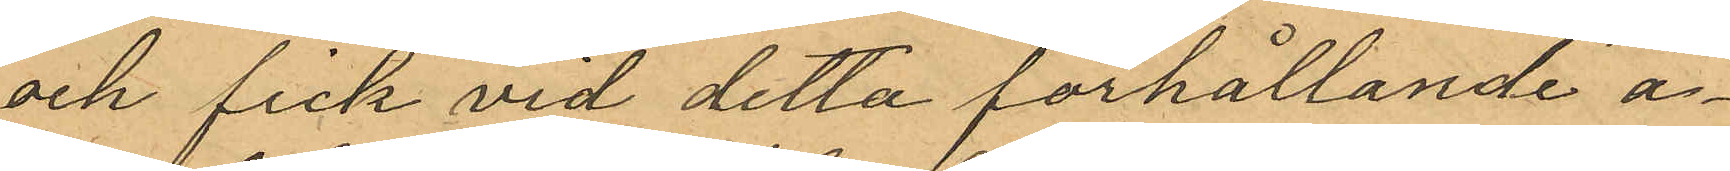och fick vid detta förhållande ä¬
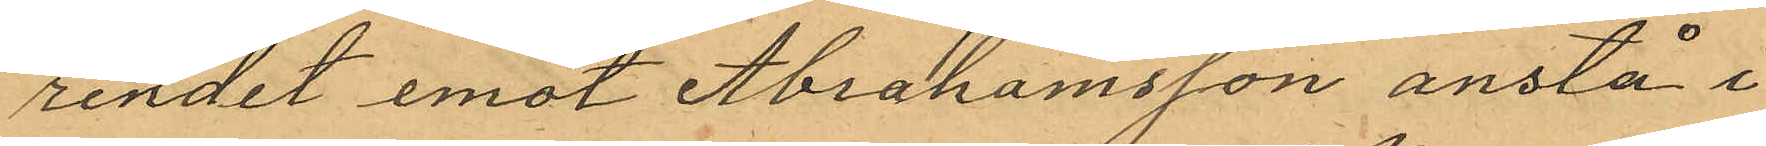rendet emot Abrahamsson anstå i
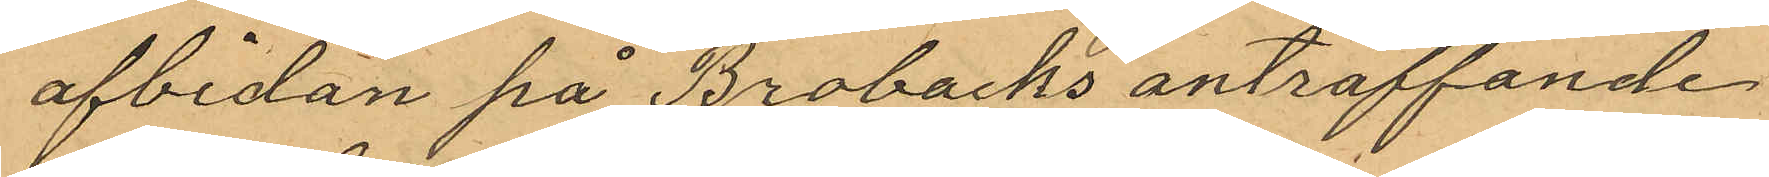afbidan på Brobacks anträffande
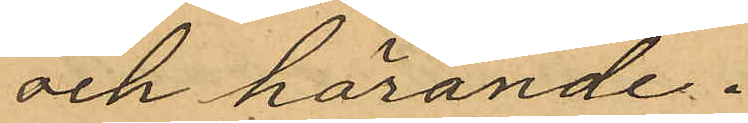och hörande.
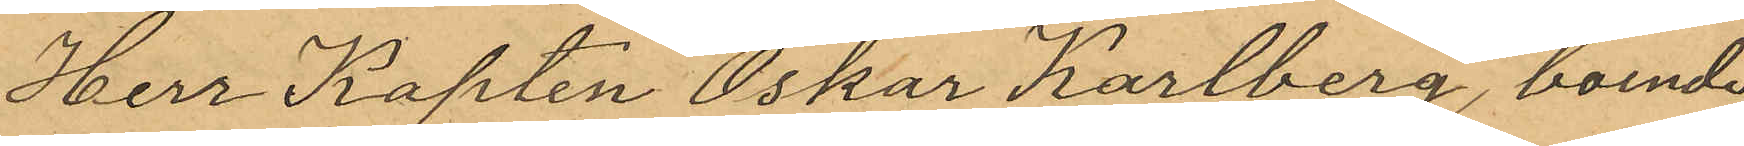Herr Kapten Oskar Karlberg, boende
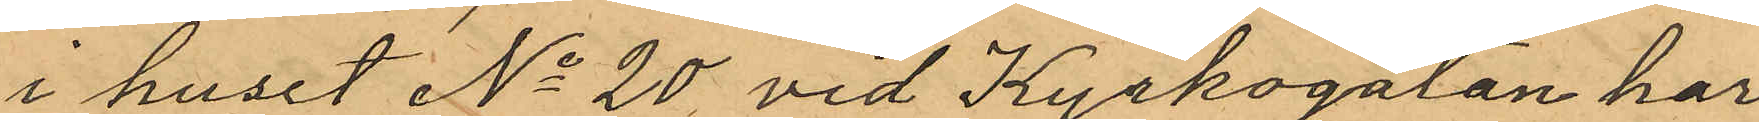i huset No 20 vid Kyrkogatan har
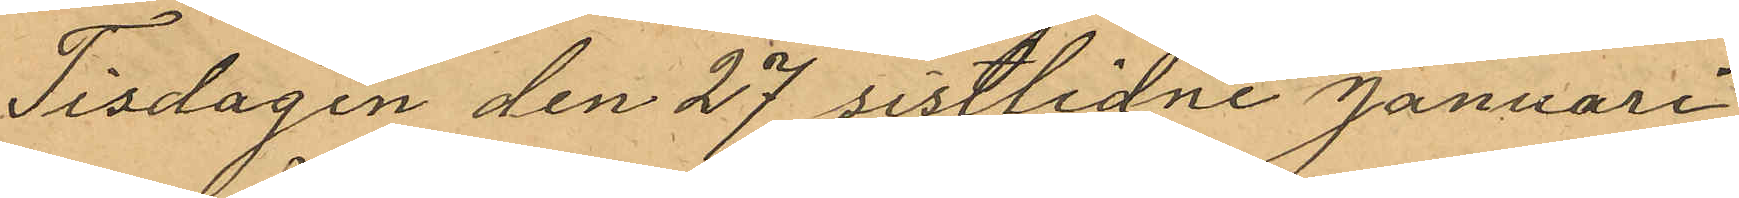Tisdagen den 27 sistlidne Januari
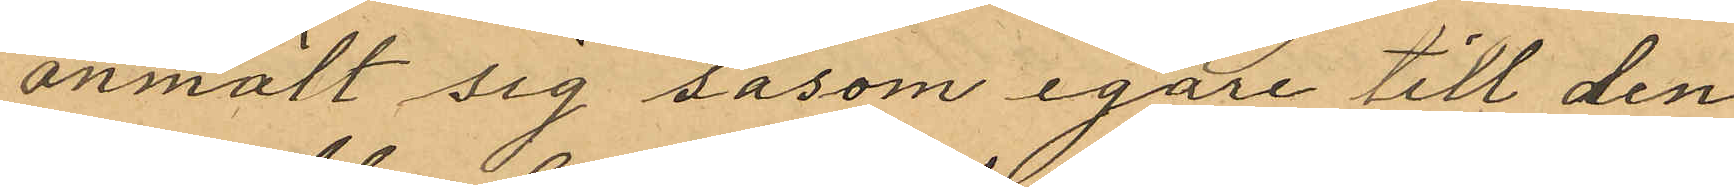anmält sig såsom egare till den
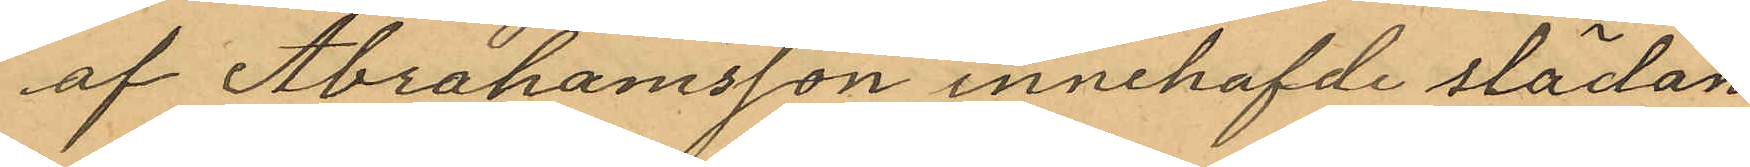af Abrahamsson innehafde slädan
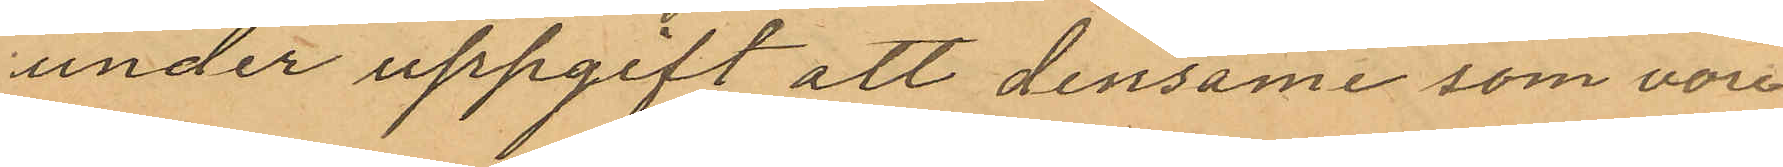under uppgift att densam som vore
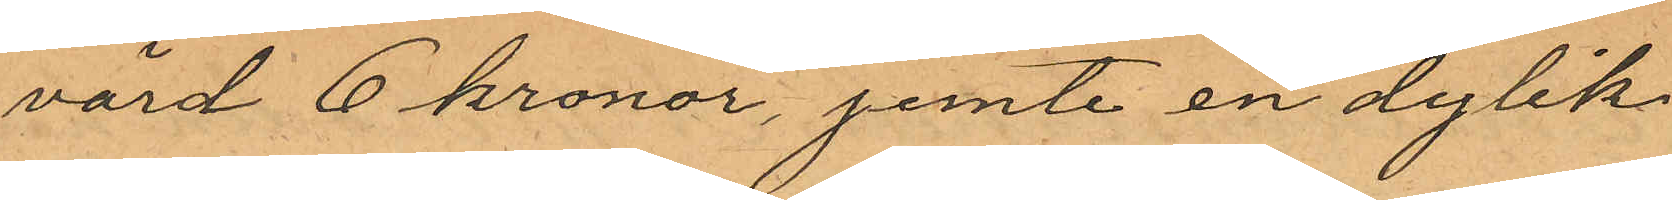värd 6 kronor, jemte en dylik
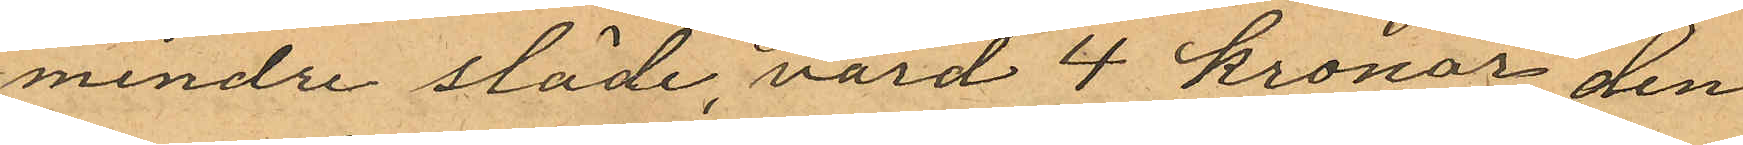mindre släde, värd 4 kronor den
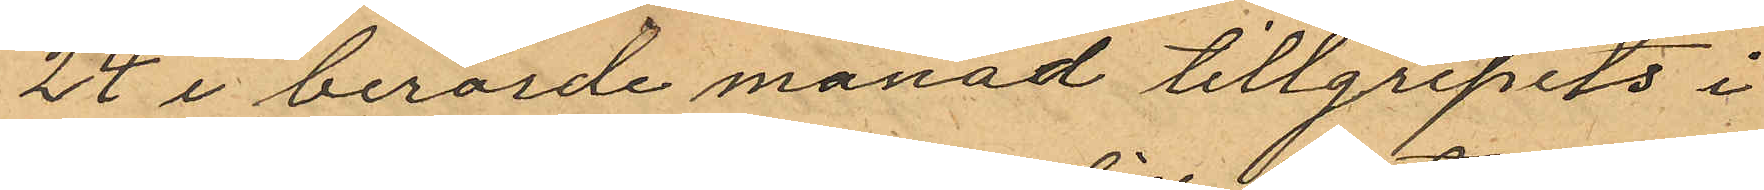24 i berörde manad tillgripits i
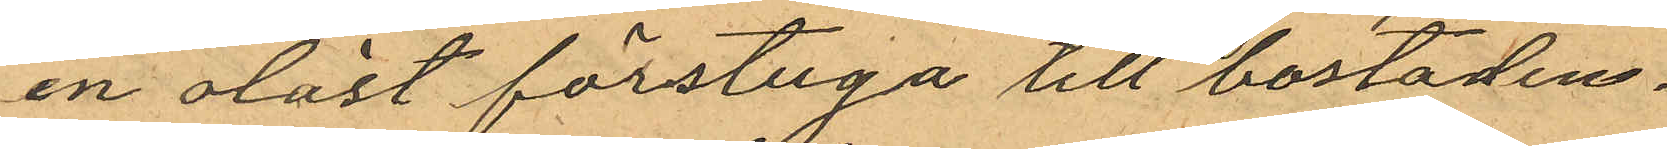en olåst förstuga till bostaden.
